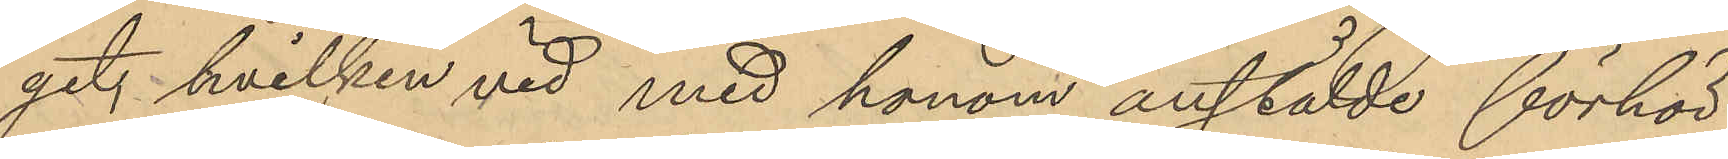get, hvilken vid med honom anstälde förhör
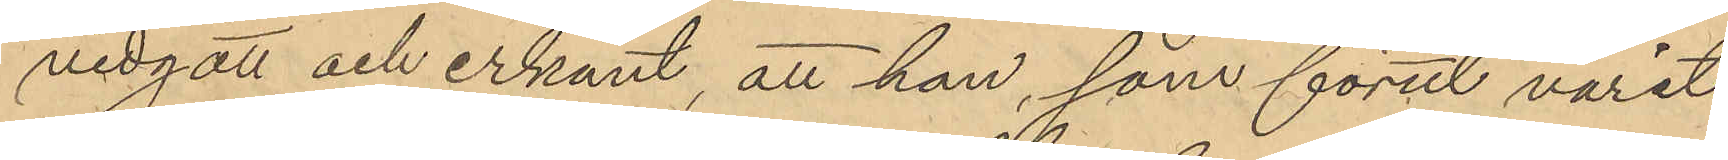vidgått och erkänt, att han, som förut varit
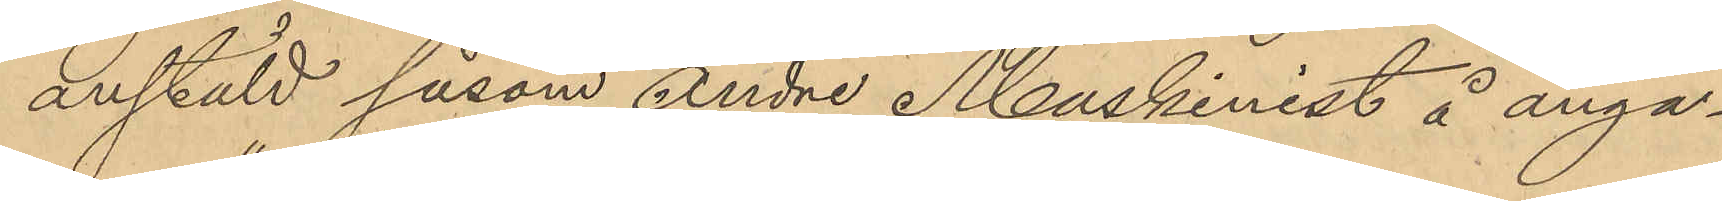anstäld såsom Andre Maskinist å ånga¬
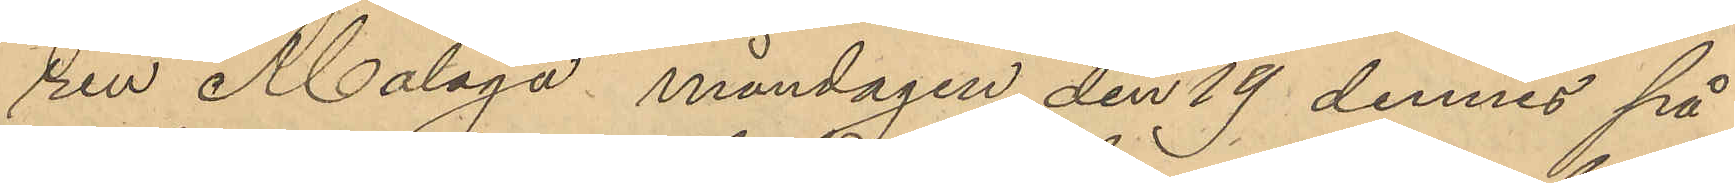ren "Malaga" måndagen den 19 dennes på
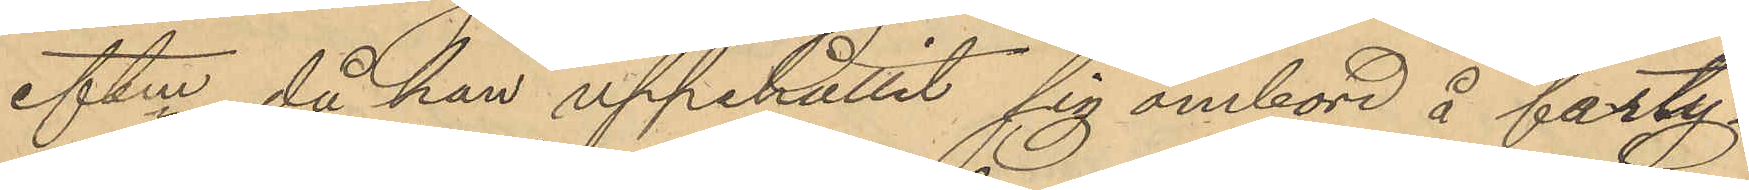eftm, då han uppehållit sig ombord å farty¬
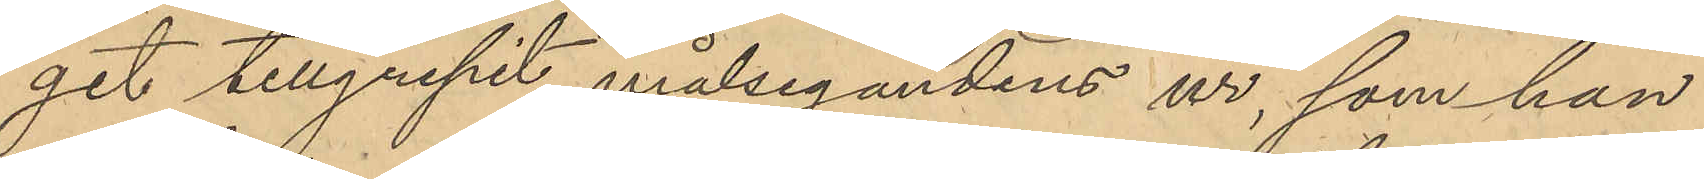get tillgripit målsegandens ur, som han
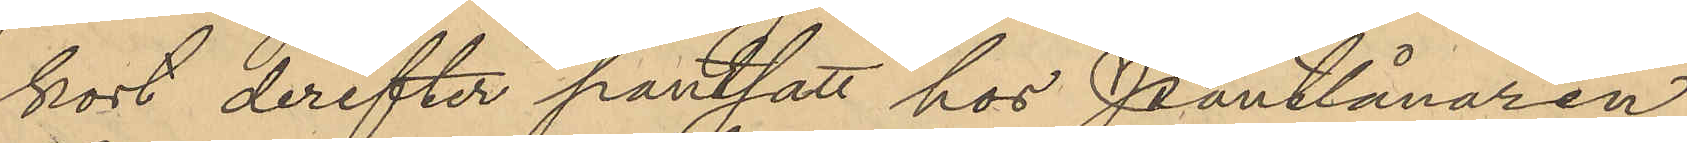kort derefter pantsatt hos Pantlånaren
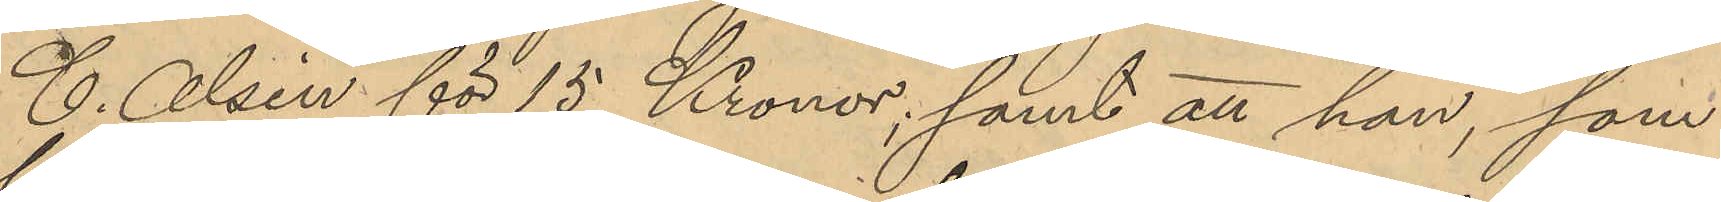C. Alsén för 15 Kronor; samt att han, som
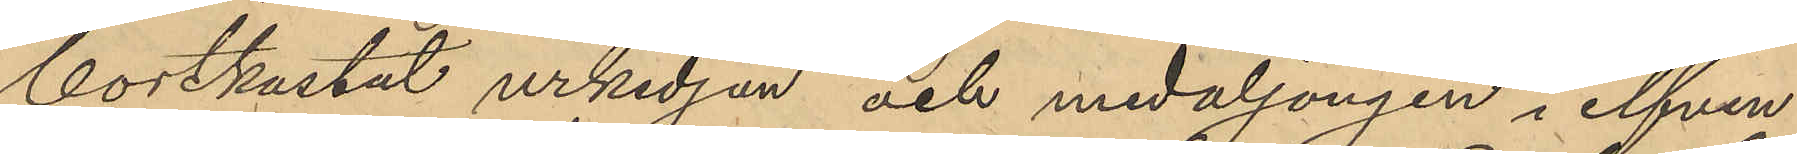bortkastat urkedjan och medaljongen i elfven
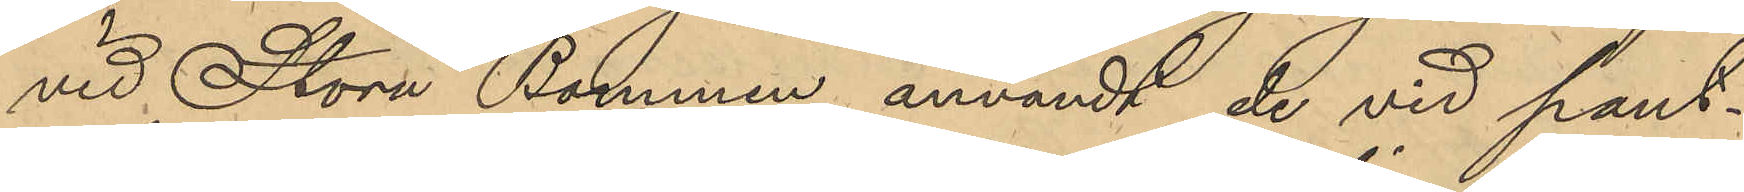vid Stora Bommen användt de vid pant¬
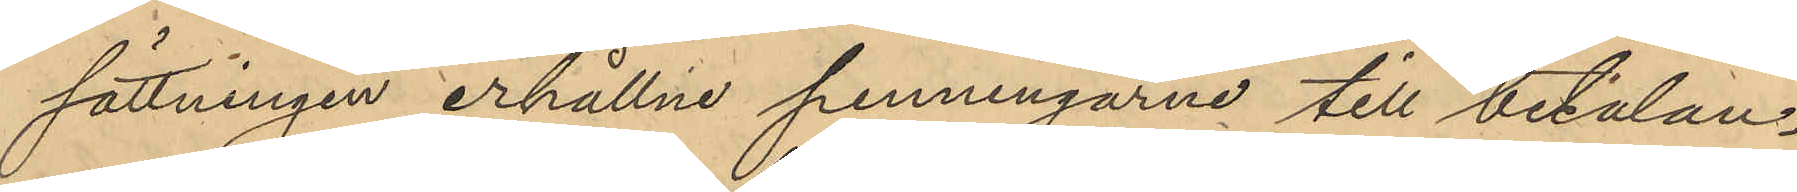sättningen erhållne penningarne till betalan¬
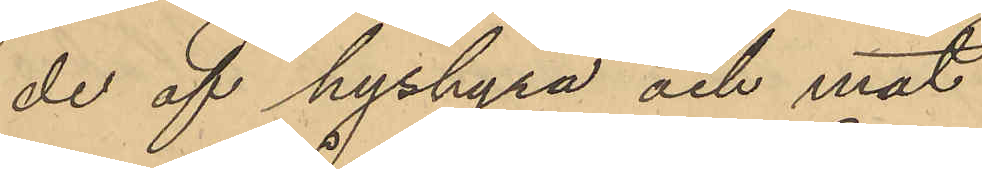de af hyshyra och mat.
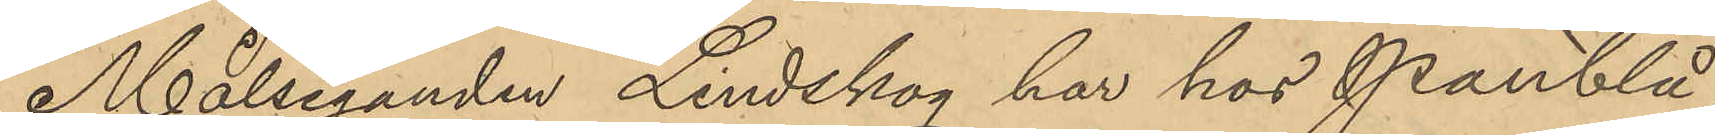Målseganden Lindskog har hos Pantlå¬
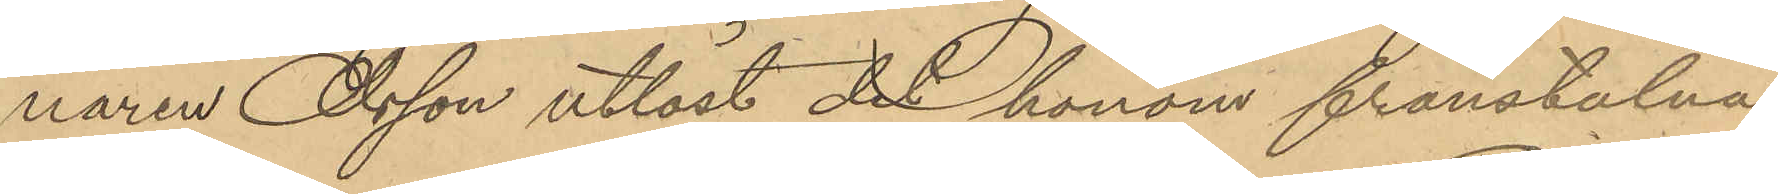naren Alsen utlöst det honom frånstulna
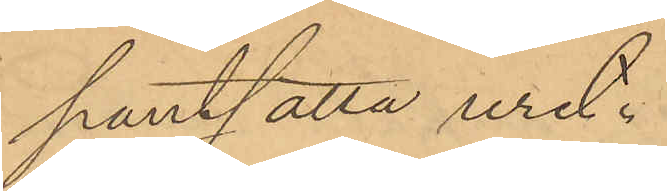pantsatta uret.
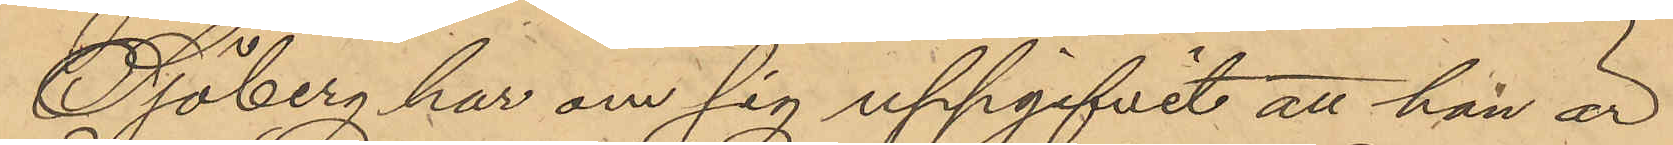Sjöberg har om sig uppgifvit att han är
